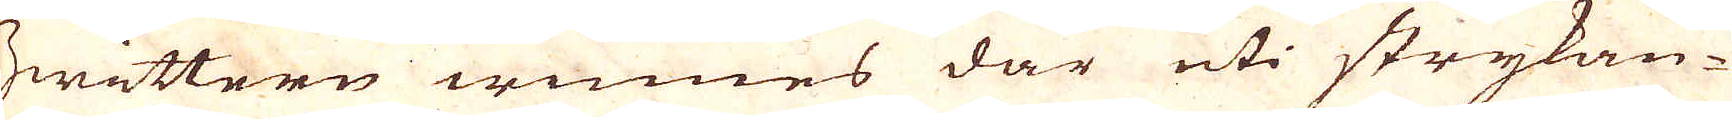Zwittern winnes där uti strykan-
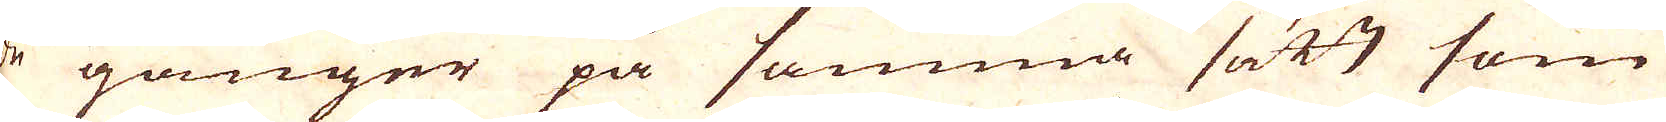de gånger på samma sätt som
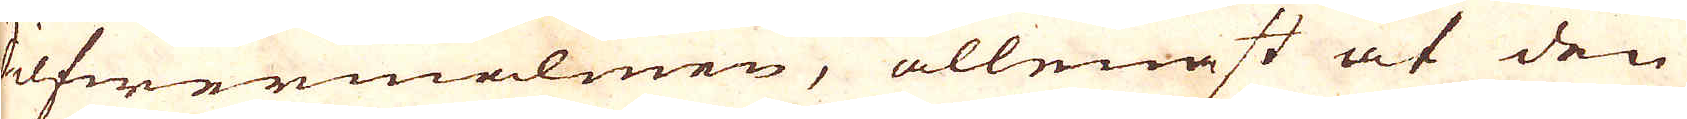Silfwermalmen, allenast at den
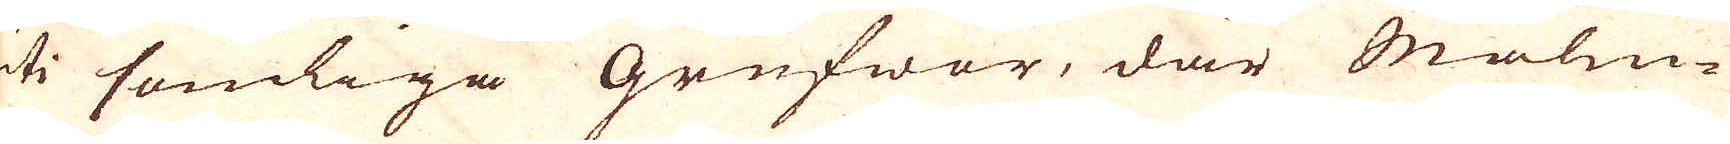uti somliga grufwor, där Malm-
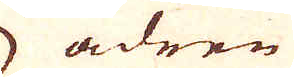ådren
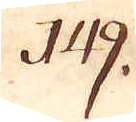149.
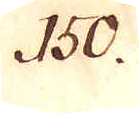150.
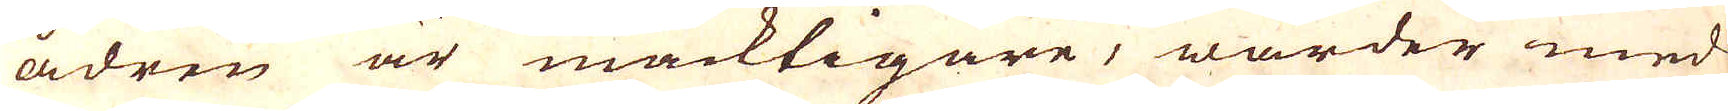ådren är mäcktigare, warder med
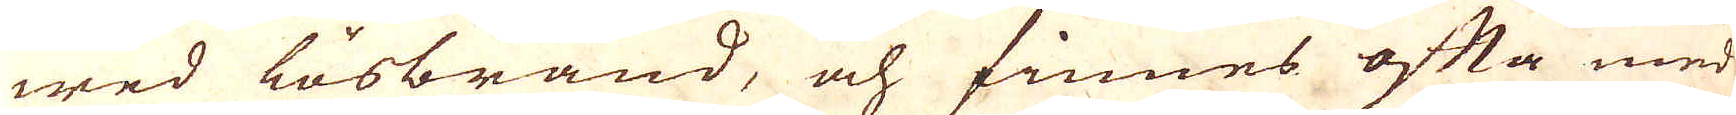wed lösbränd, och finnes ofta med
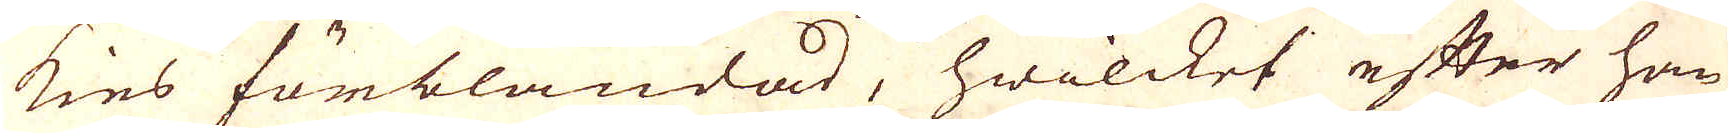kies förblandad, hwilcket efter han
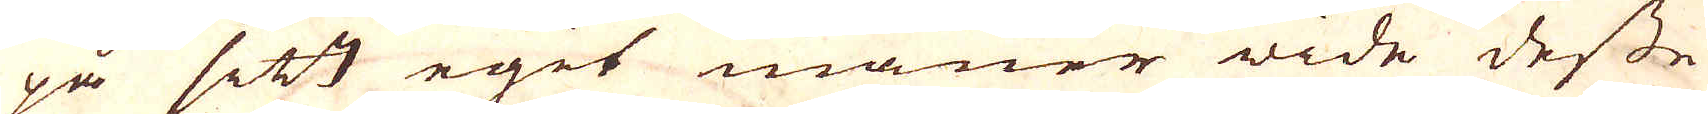på sitt eget maner wide desse
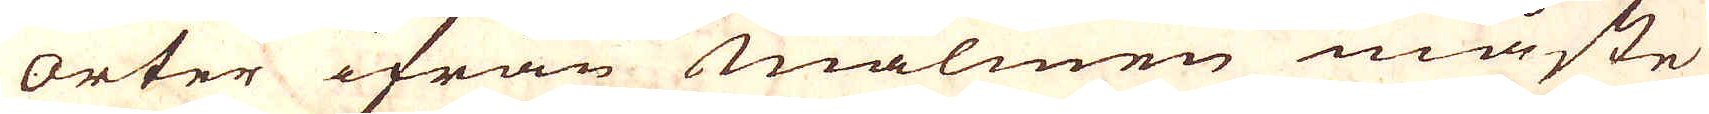Orter ifrån Malmen måste
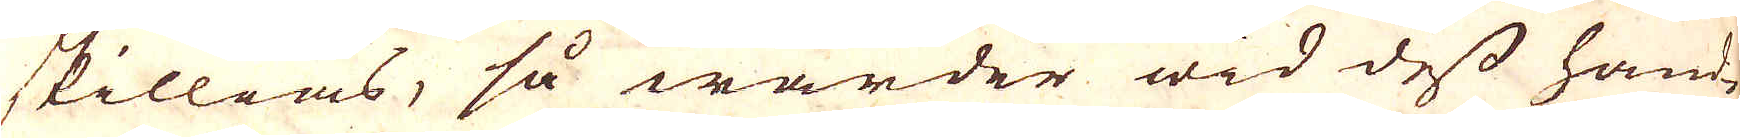skillias, så warder wid dess hand-
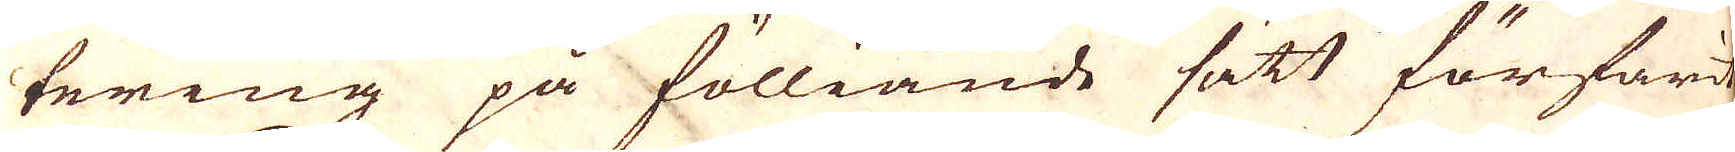tering på fölliande sätt förfarit.
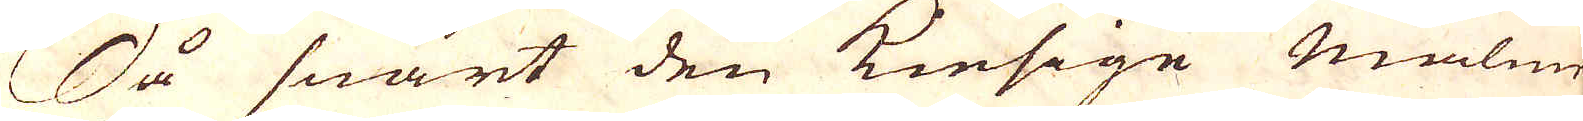Så snart den Kiesige malm
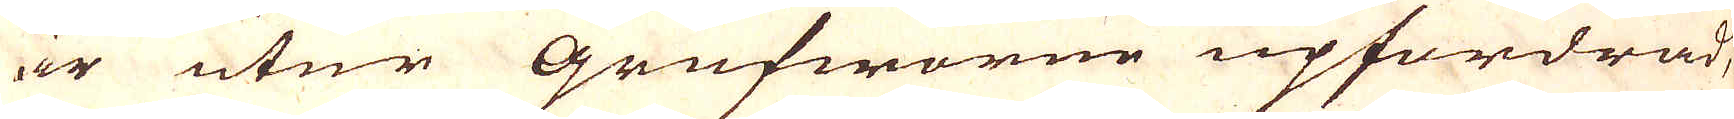är utur Grufworne upfordrad,
